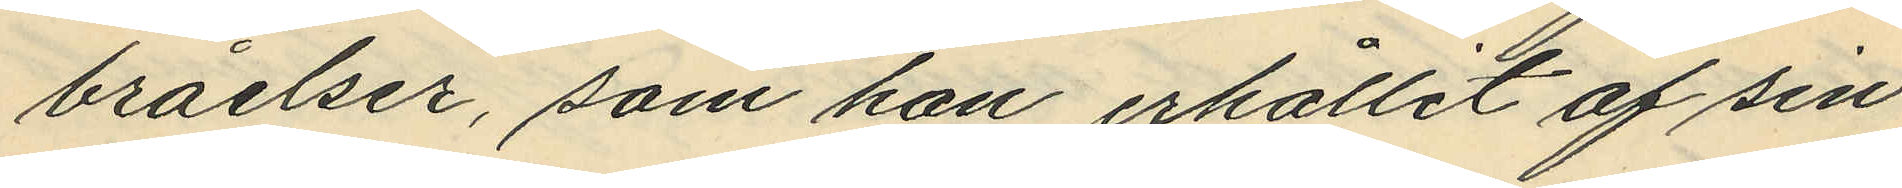bråelser, som han erhållit af sin
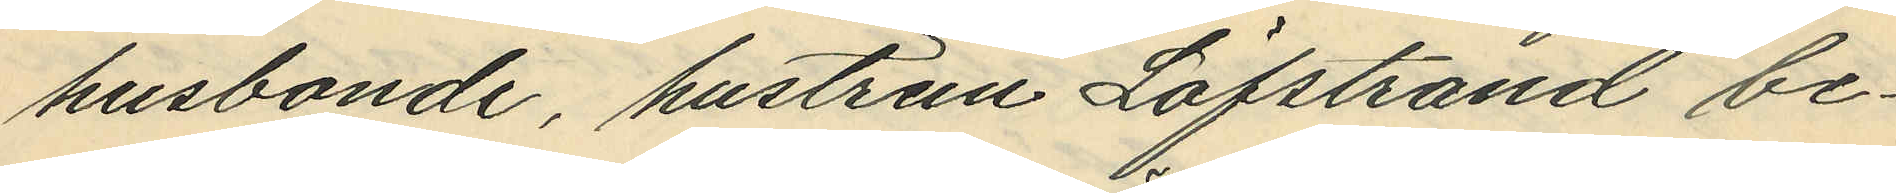husbonde, hustrun Löfstrand be¬
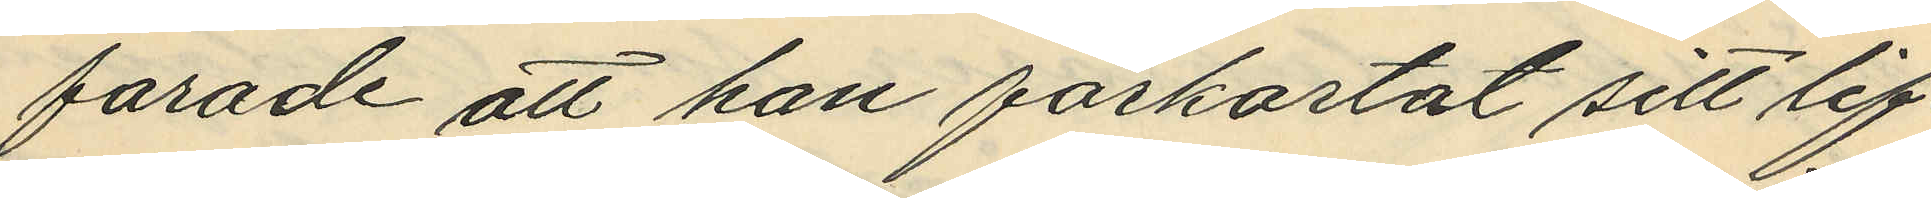farade att han förkortat sitt lif.
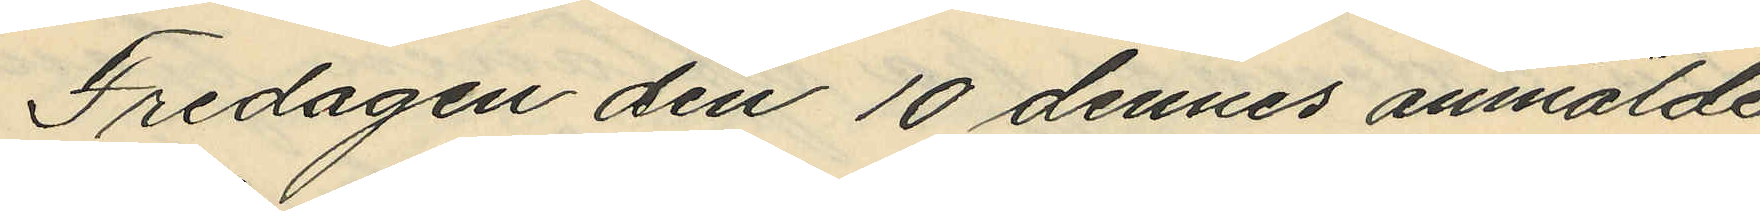Fredagen den 10 dennes anmälde
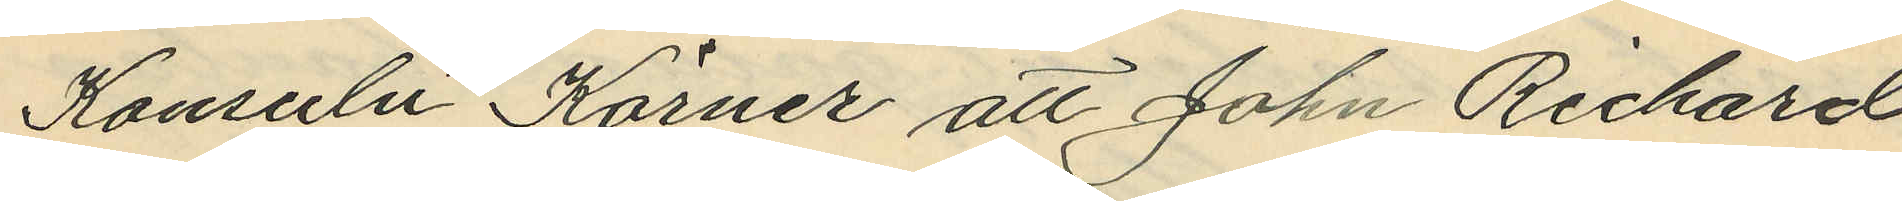Konsuln Körner att John Richard
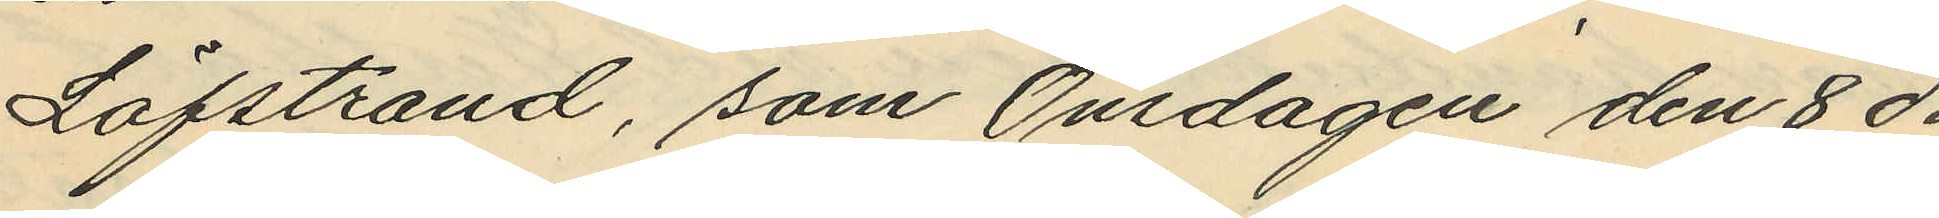Löfstrand, som Onsdagen den 8 ds
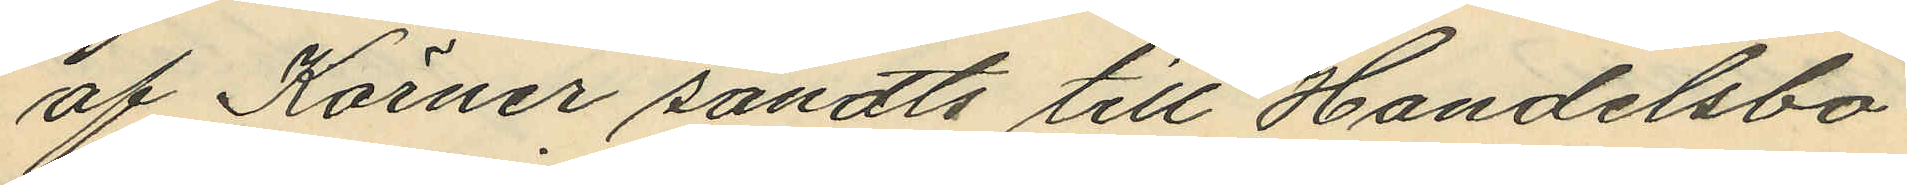af Körner sändts till Handelsbo¬
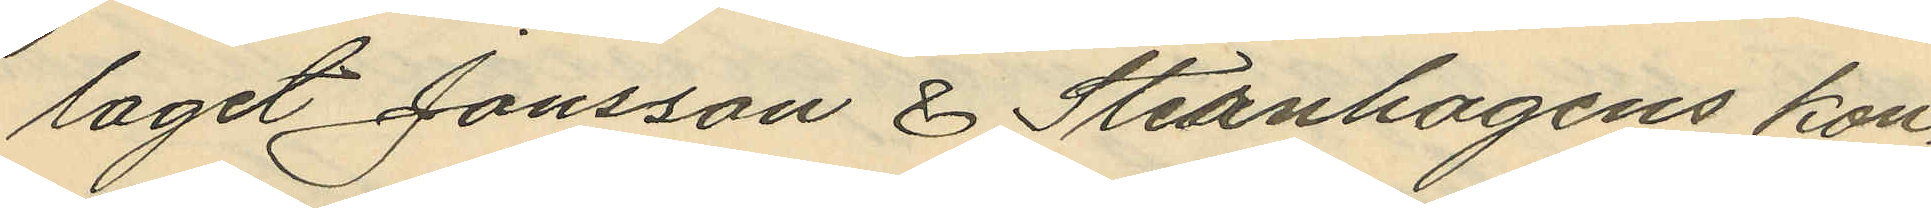laget Jansson & Sternhagens kon¬
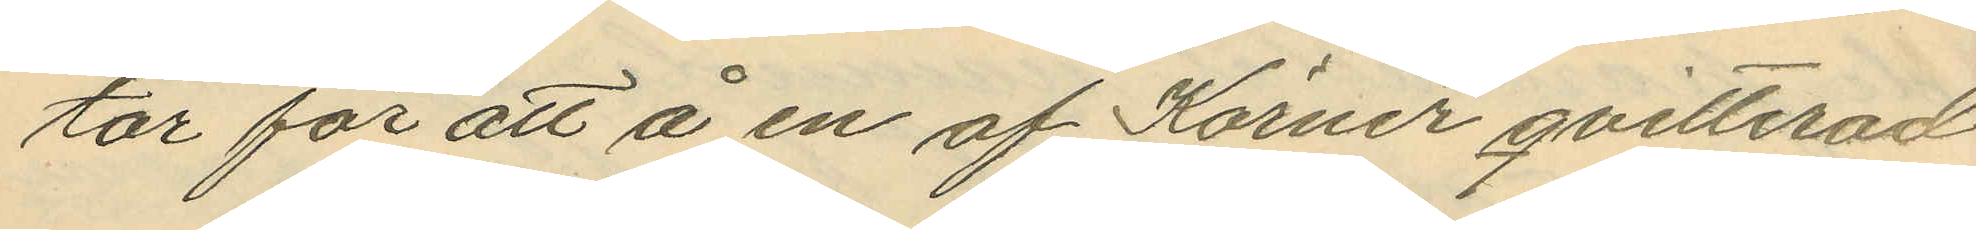tor för att å en af Körner qvitterad
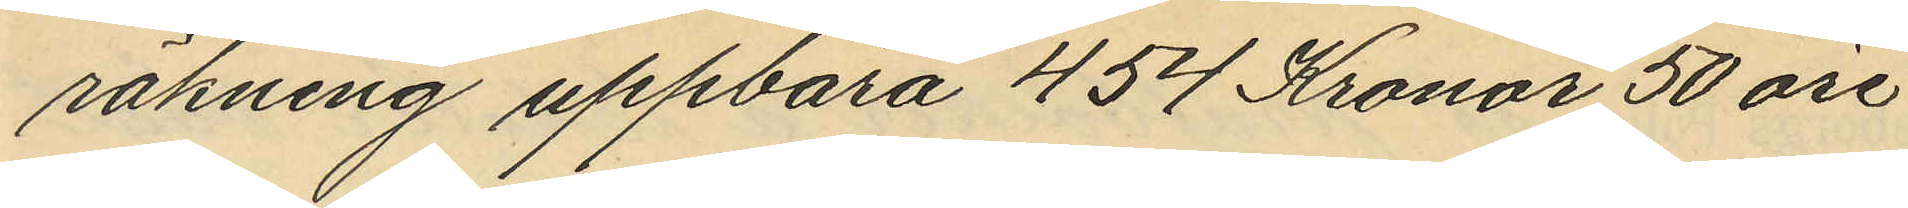räkning uppbära 454 Kronor 50 öre
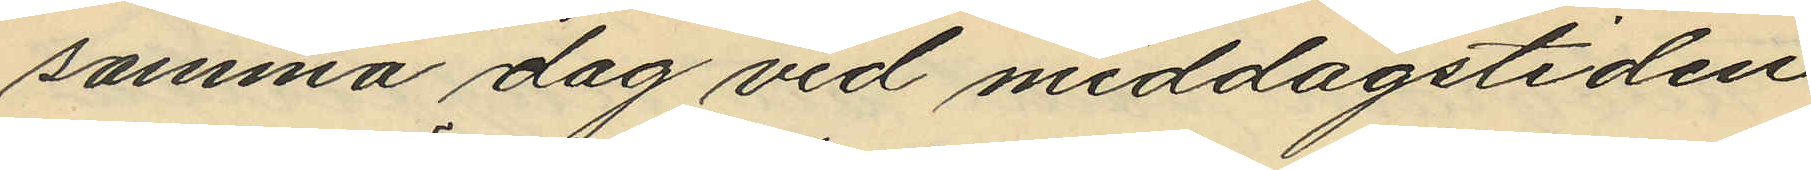samma dag vid middagstiden
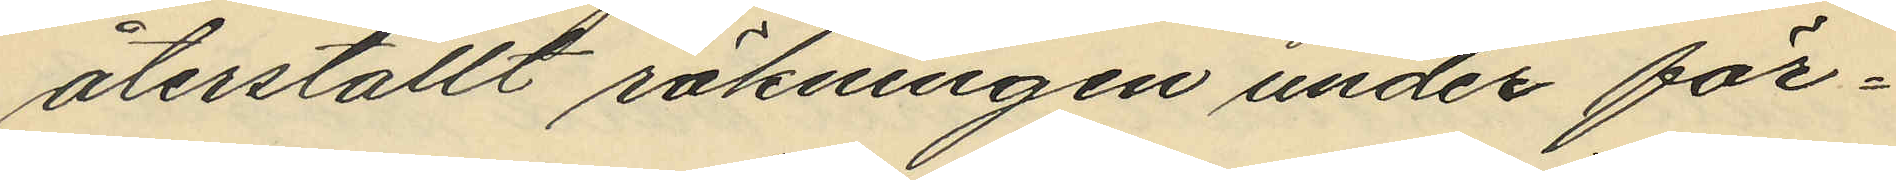återställt räkningen under för¬
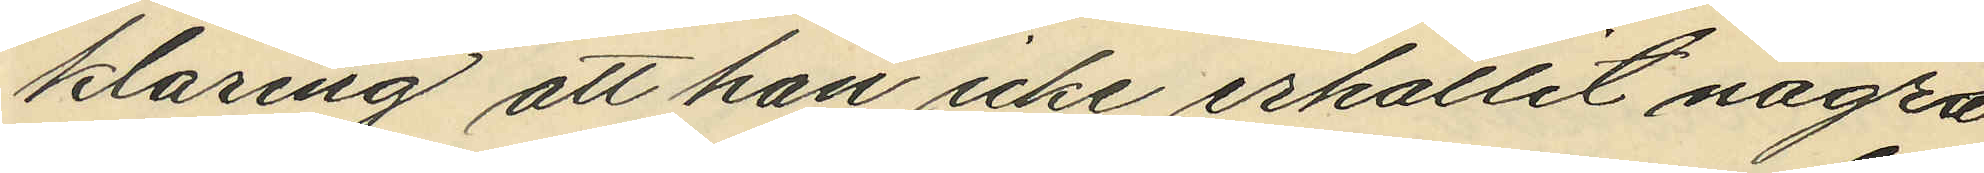klaring att han icke erhållit några
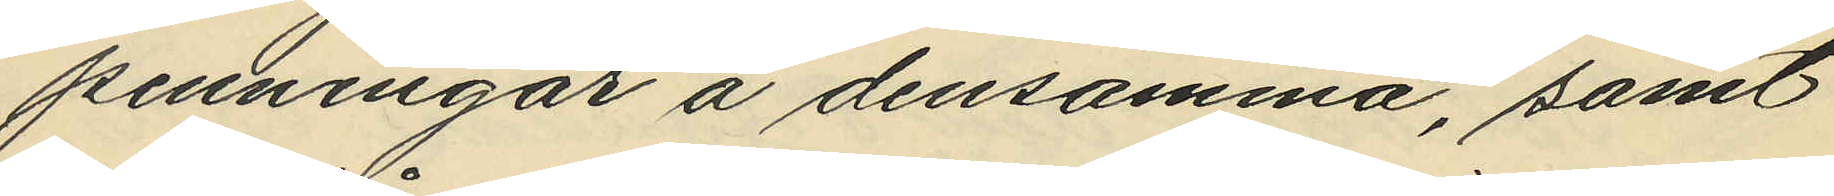penningar å densamma, samt
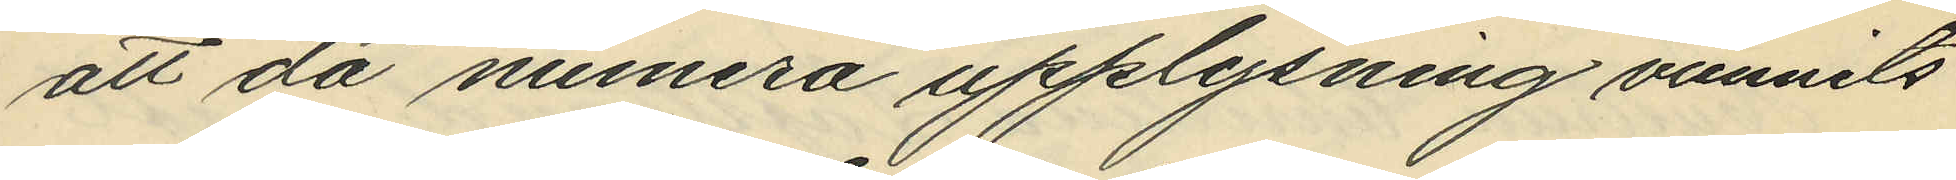att då numera upplysning vunnits
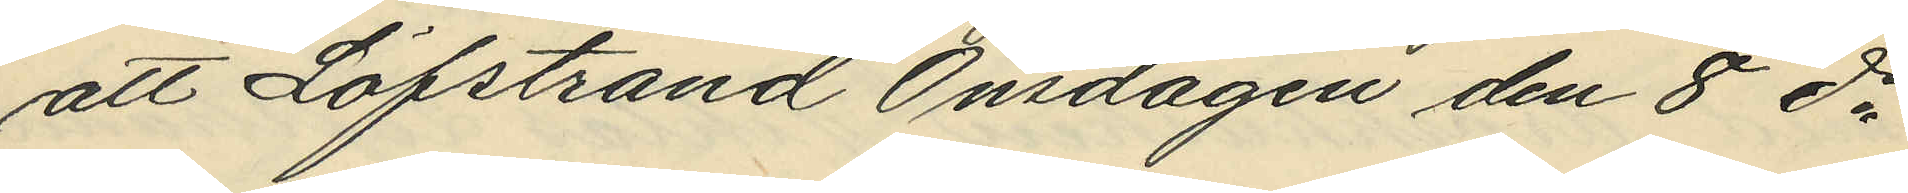att Löfstrand Onsdagen den 8 ds
